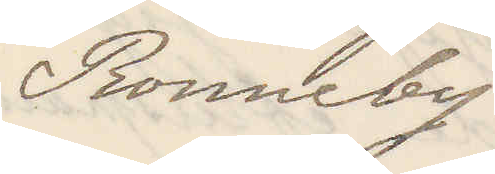Ronneby
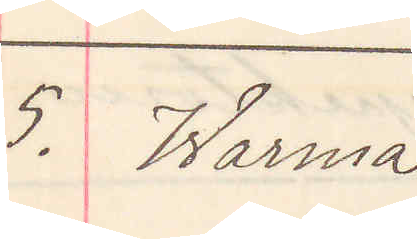5. Warma
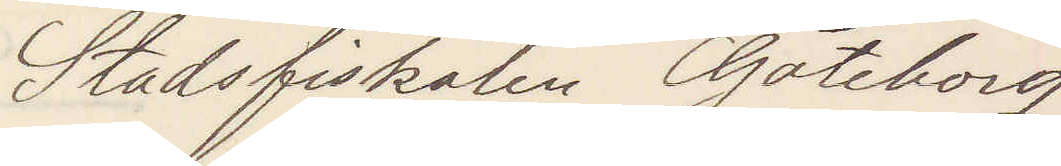Stadsfiskalen Göteborg
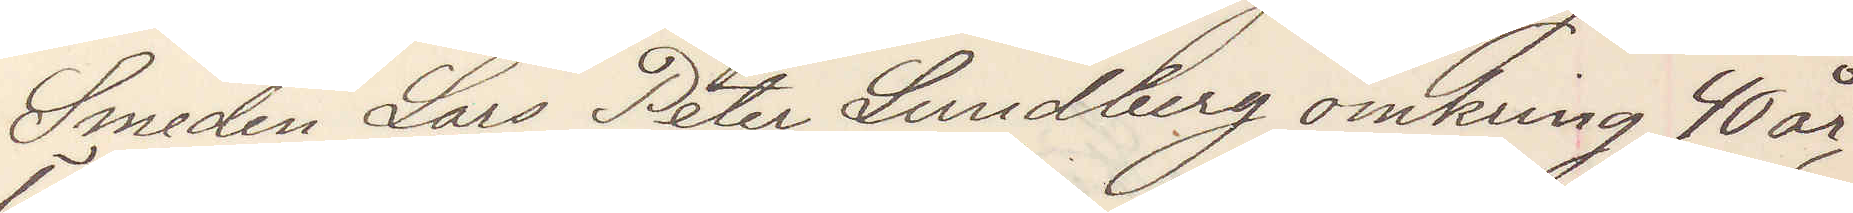Smeden Lars Peter Lundberg omkring 40 år,
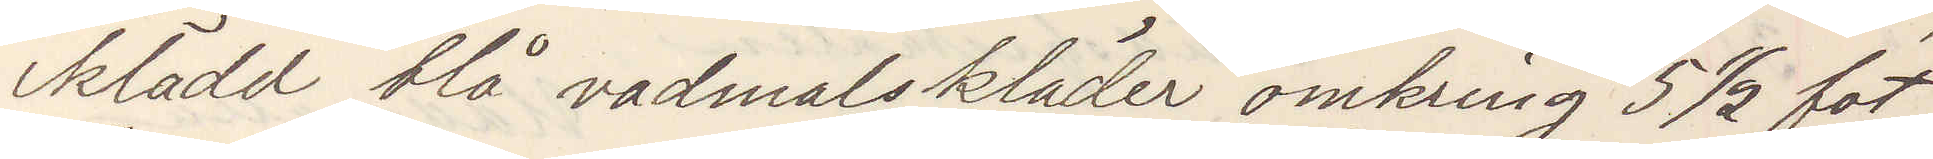iklädd blå vadmalskläder omkring 5 ½ fot
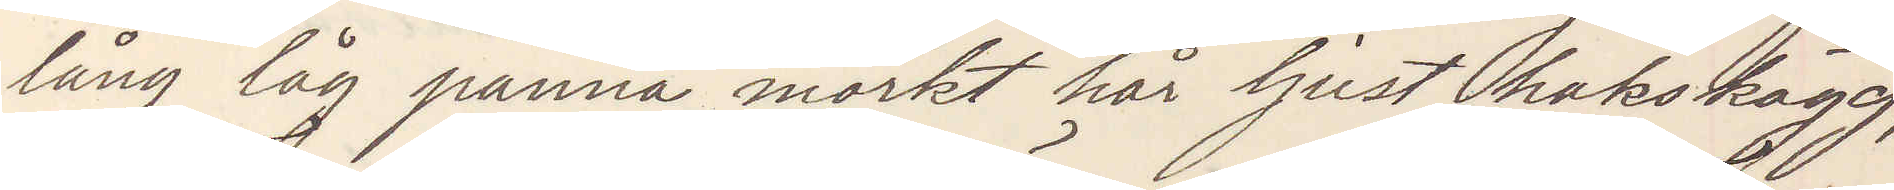lång låg panna mörkt hår ljust hakskägg,
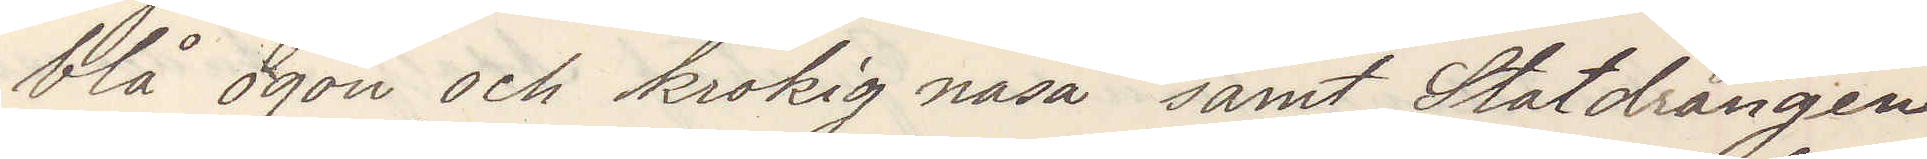blå ögon krokig näsa samt Statdrängen
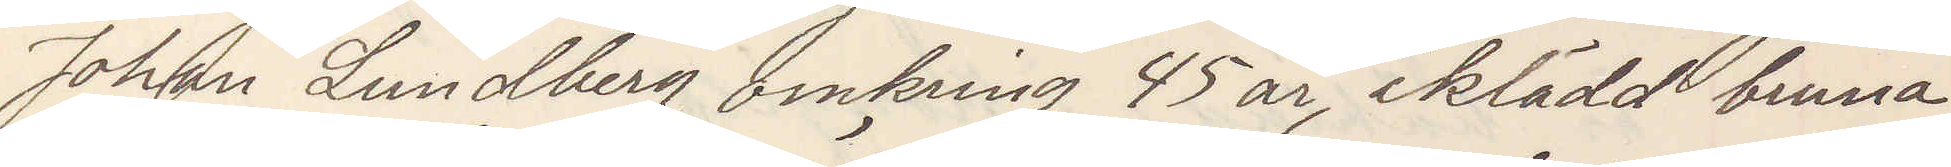Johan Lundberg omkring 45 år, iklädd bruna
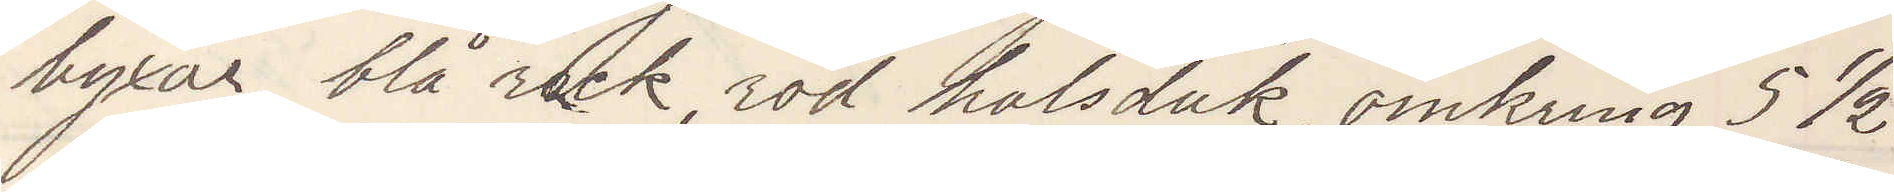byxor blå rock, röd halsduk omkring 5 ½
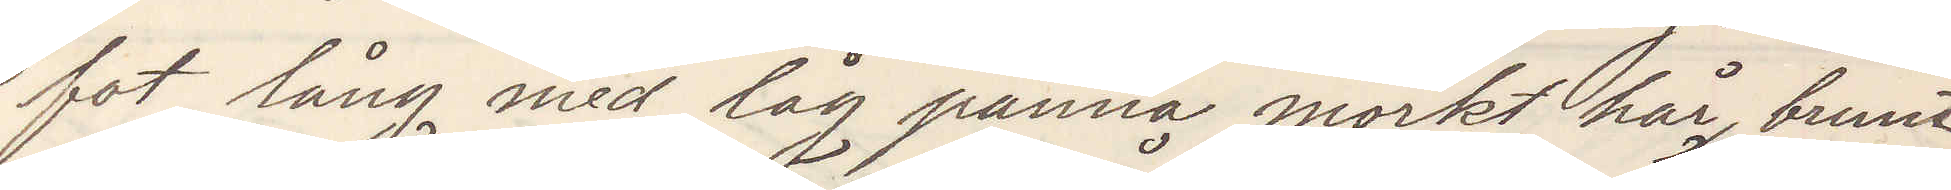fot lång med låg panna mörkt hår, brunt
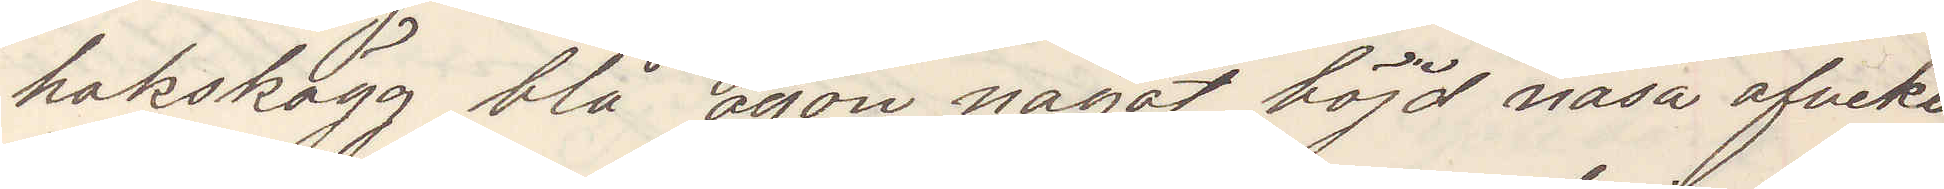hakskägg blå ögon något böjd näsa afveko
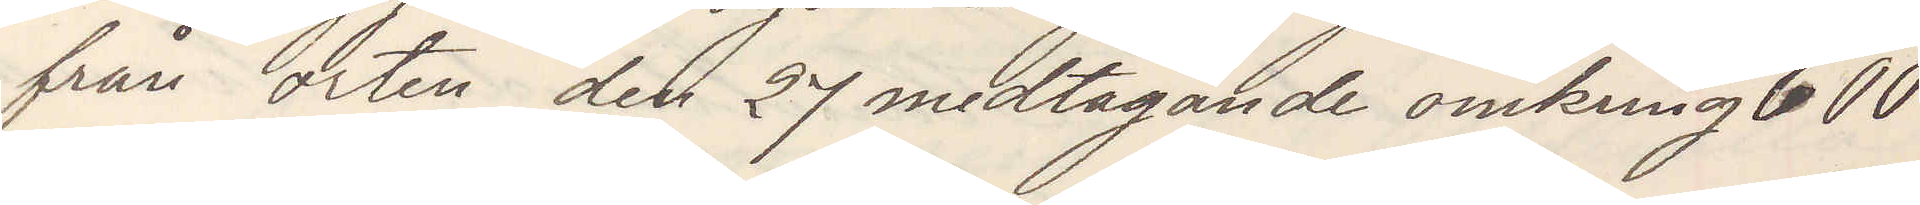från orten den 27 medtagande omkring 600
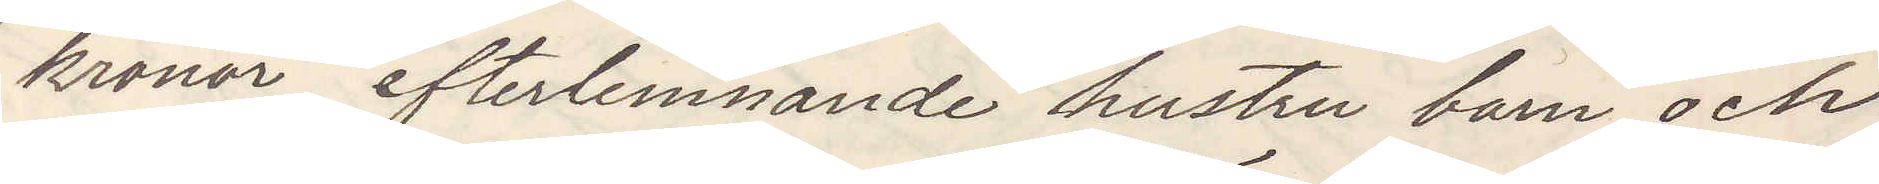kronor efterlemnande hustru barn och
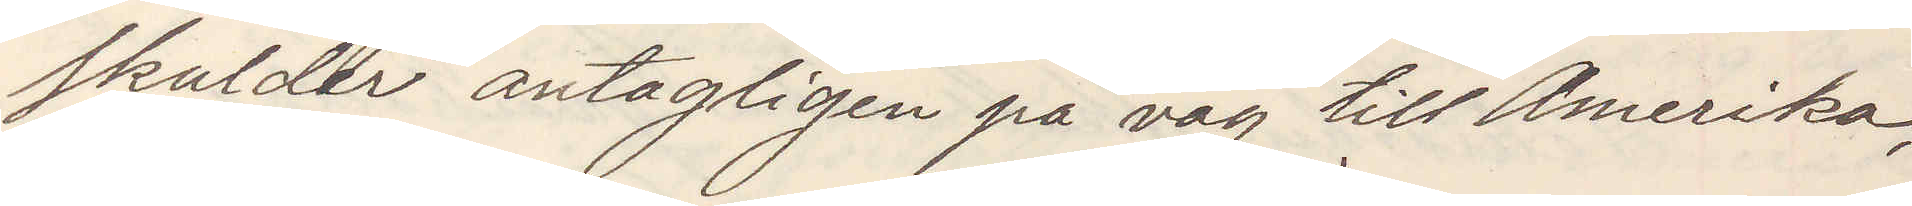skulder antagligen på väg till Amerika,
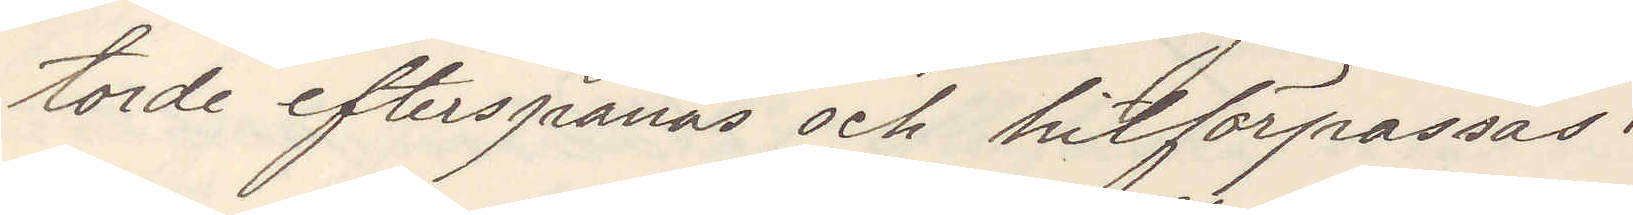torde efterspanas och hitförpassas.
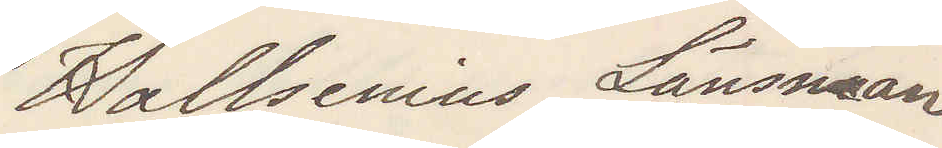Hallsenius Länsman
